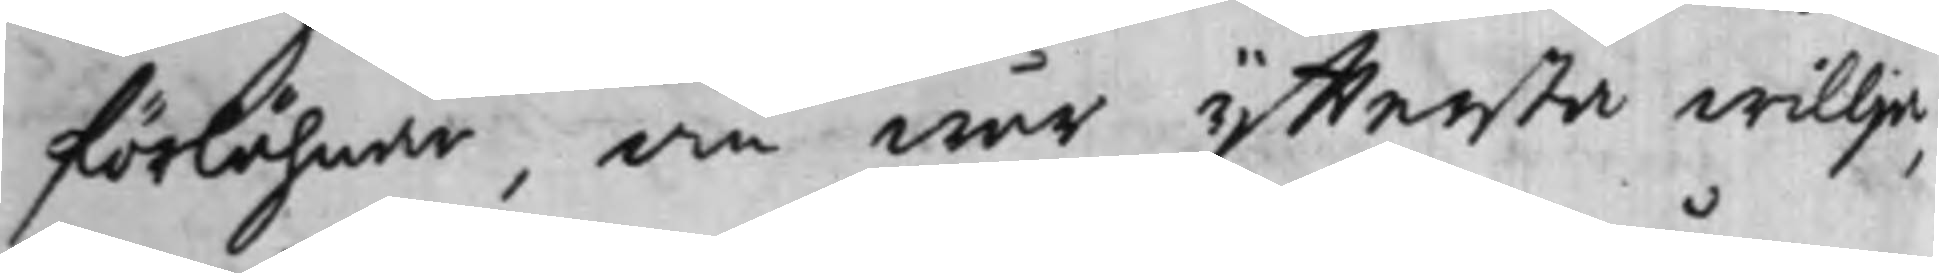förlähnar, om wår yttersta willja,
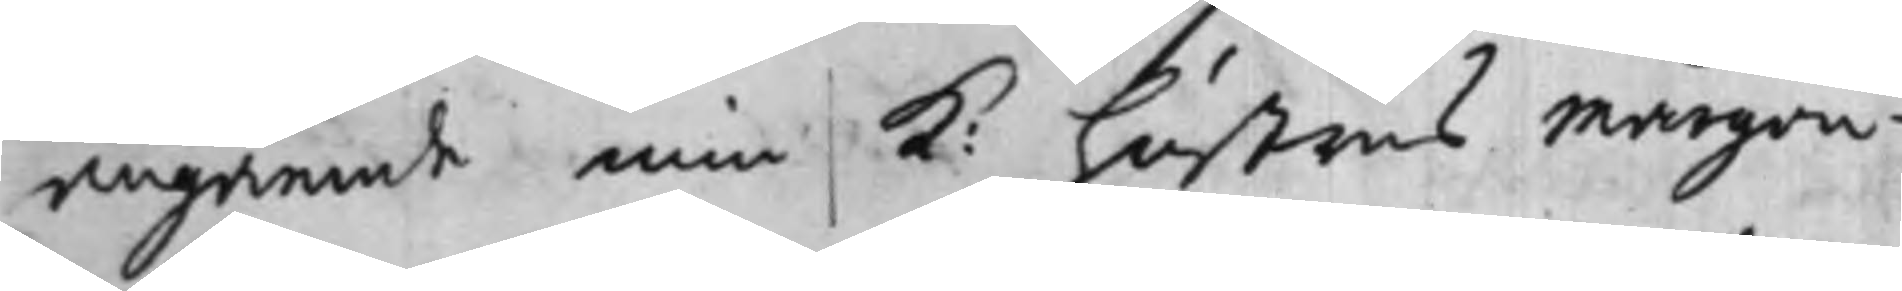angående min K: hustrus Mårgon¬
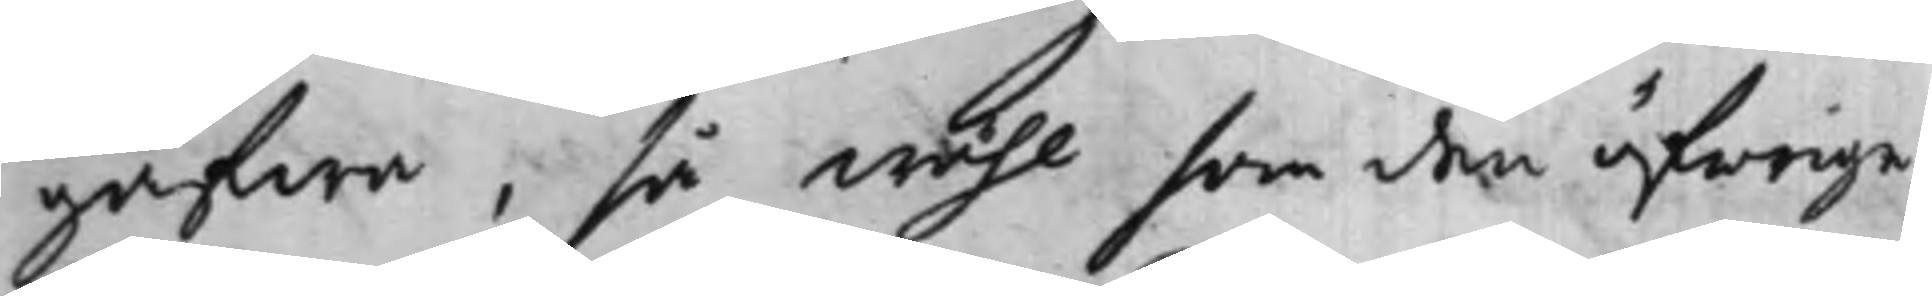gåfwa, så wähl som den öfrige
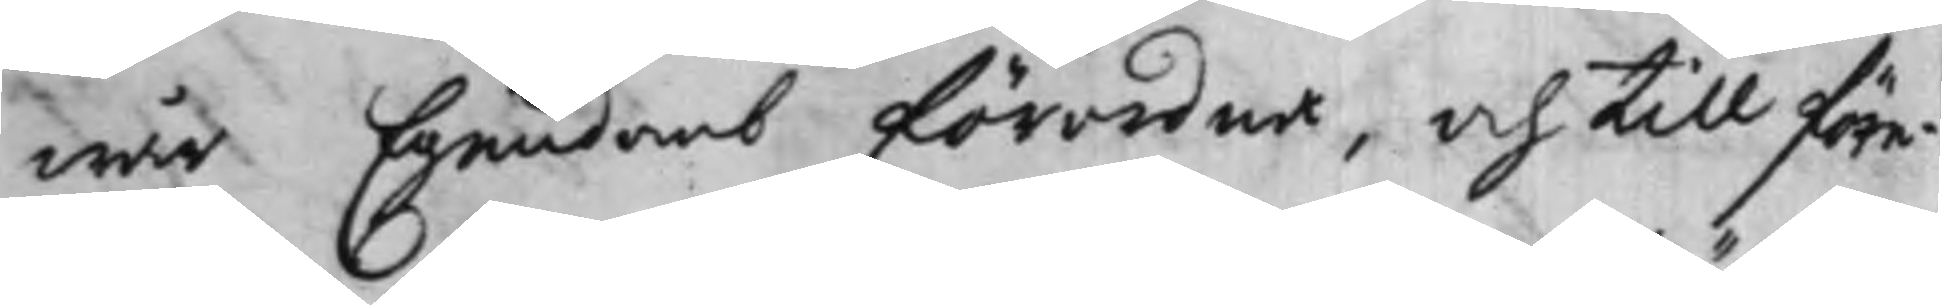wår Egendomb förordna, och till före¬
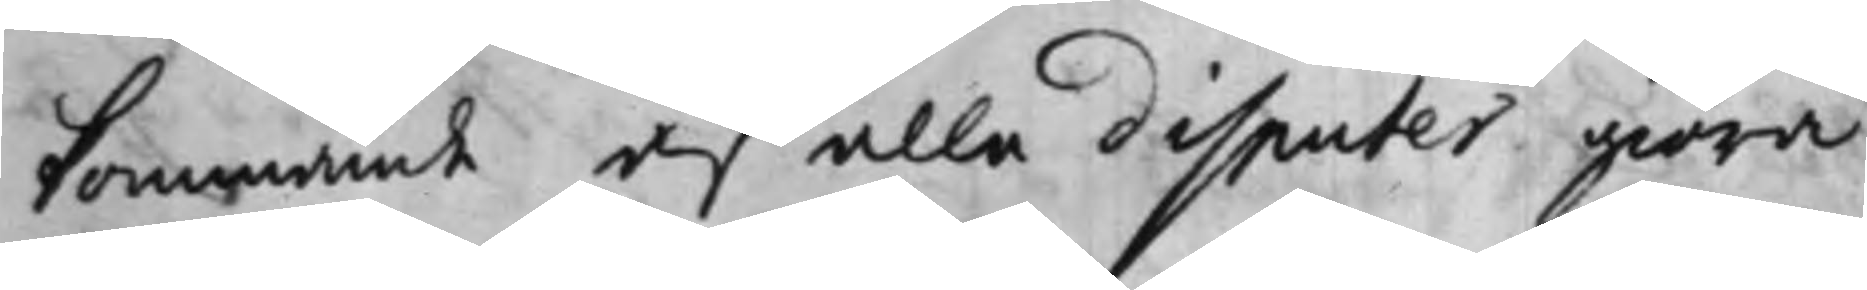kommande af alla disputer giöra
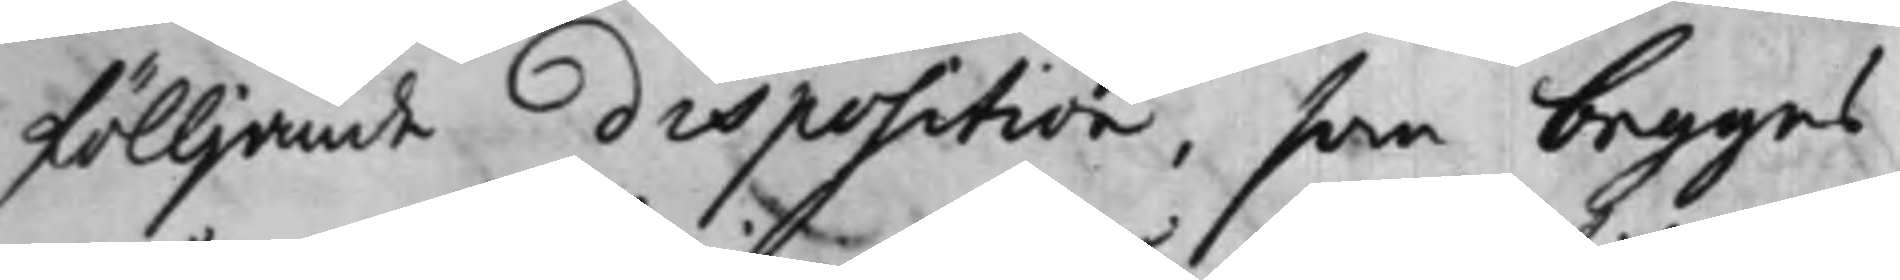fölljande disposition, som begges
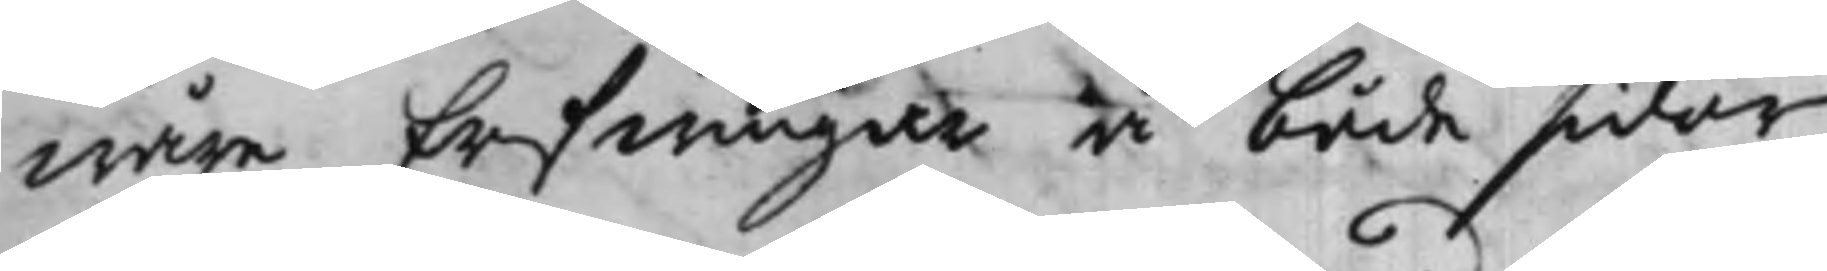wåre Erfwingar å både sidor
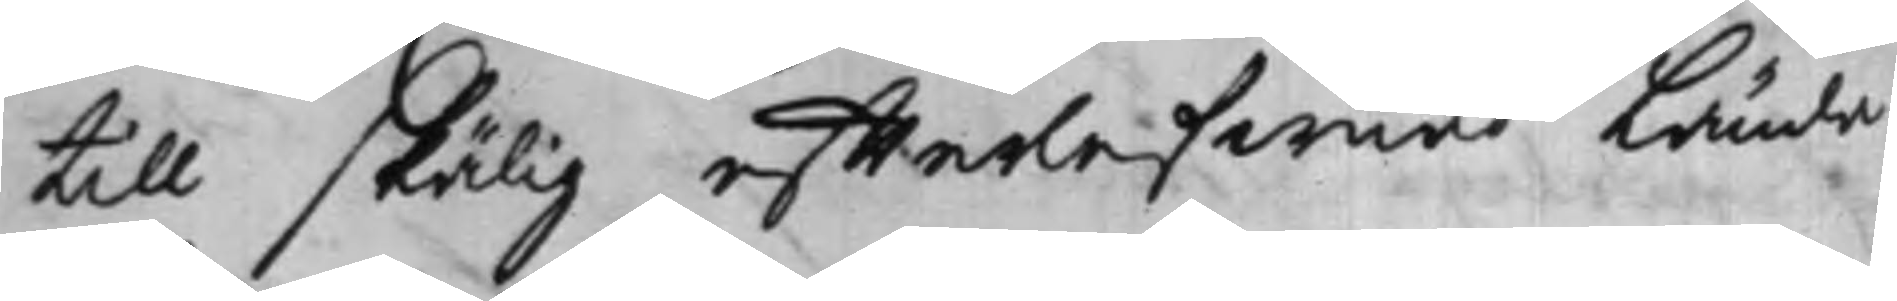till skälig effterlefwnad Lända
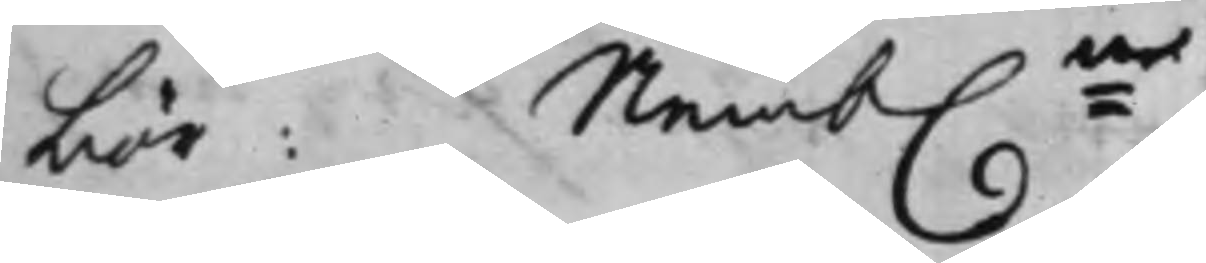bör: Nemb:en
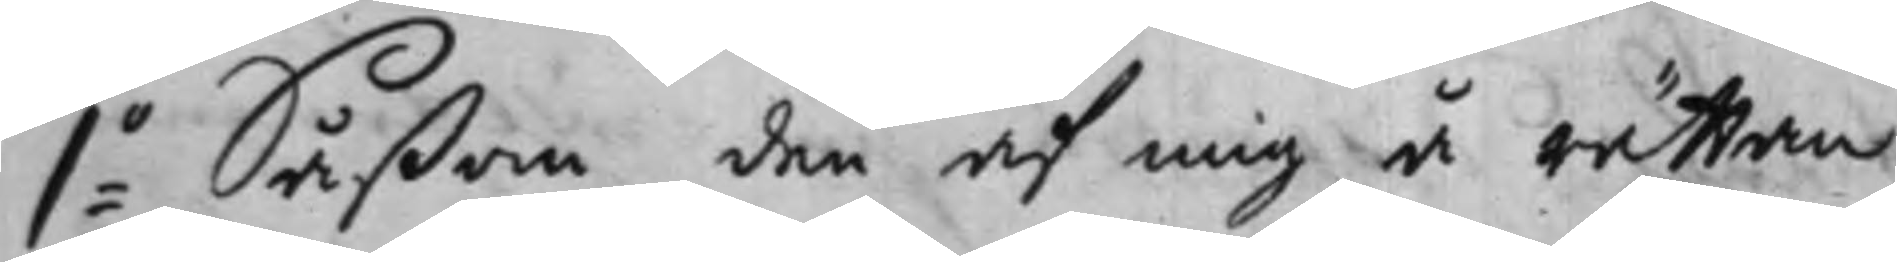1:o Såßom den af mig å rättan
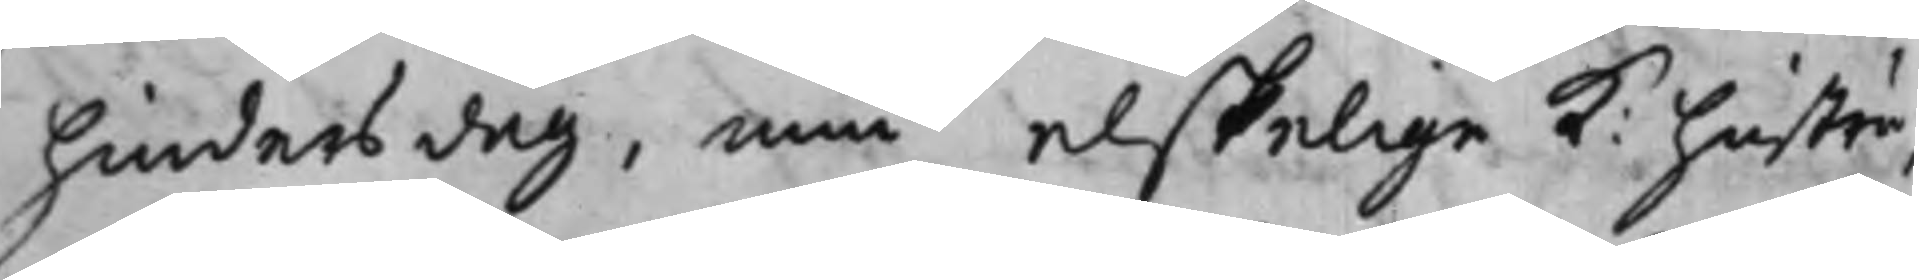hindersdag, min elskelige K: hustru,
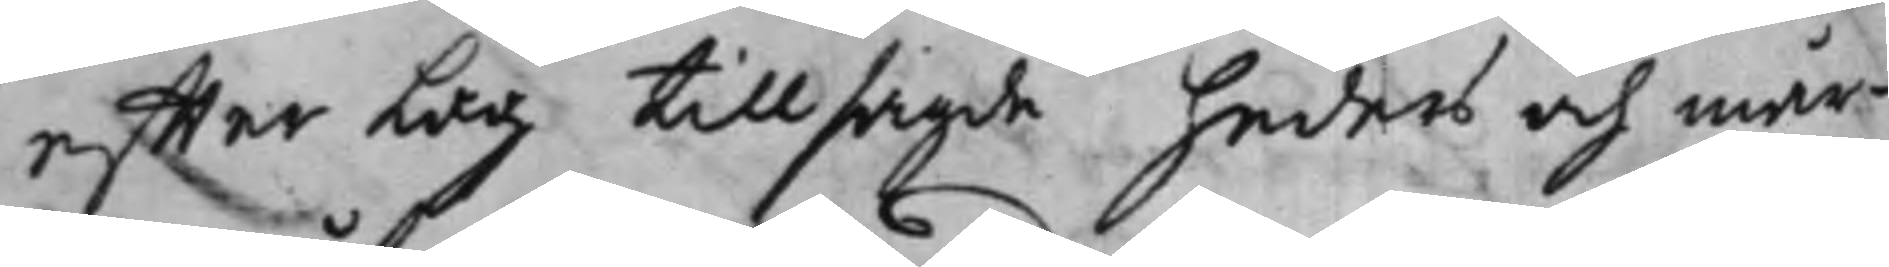effter Lag tillsagde heders och mår¬
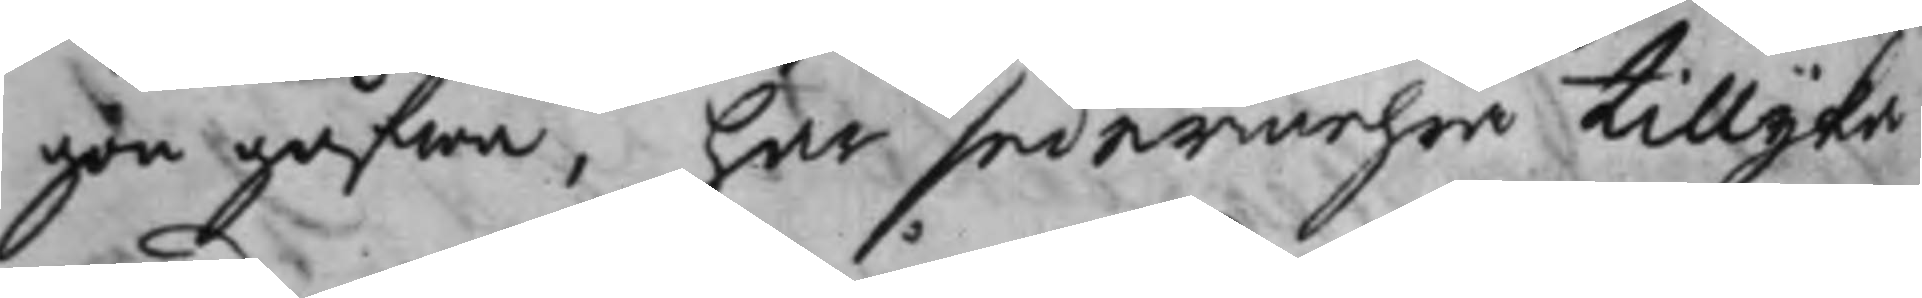gongåfwa, har sedermehra tillijka
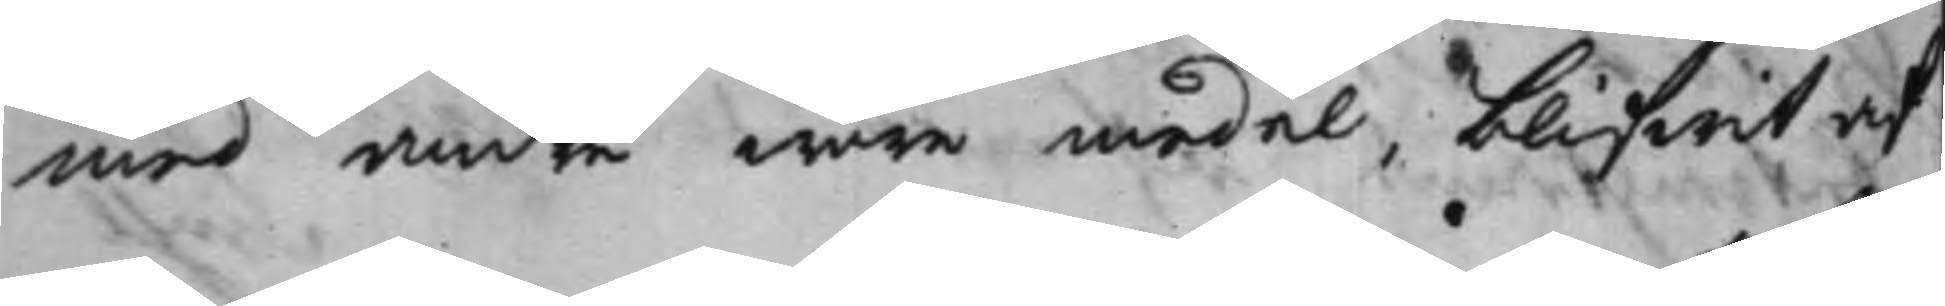med andre wåre medel blifwit af
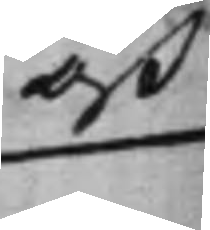oß
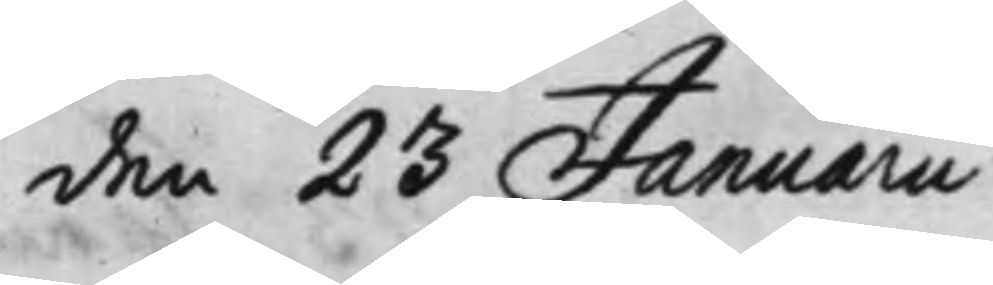den 23 Januarii
